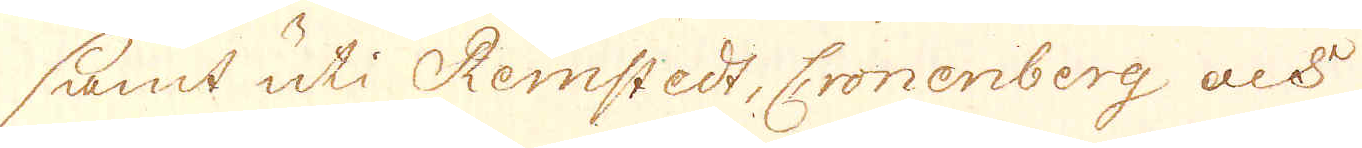samt uti Remstedt, Cronenberg och
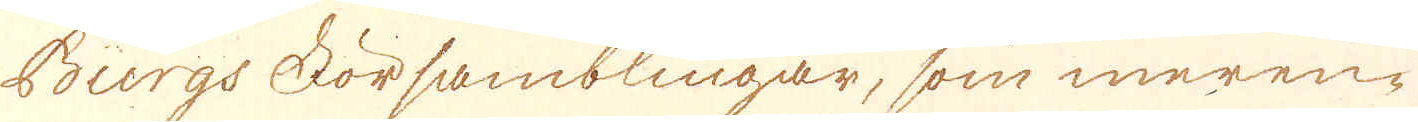Burgs Församblingar, som meren-
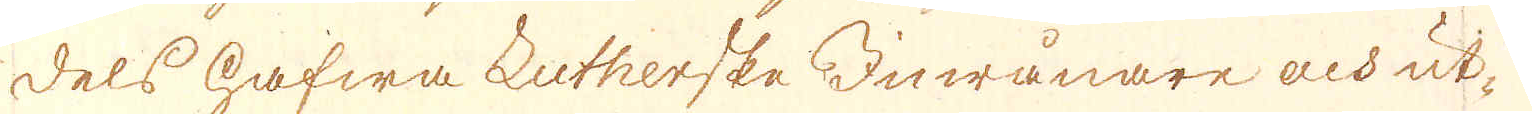dels hafwa Lutherske inwånare och ut-
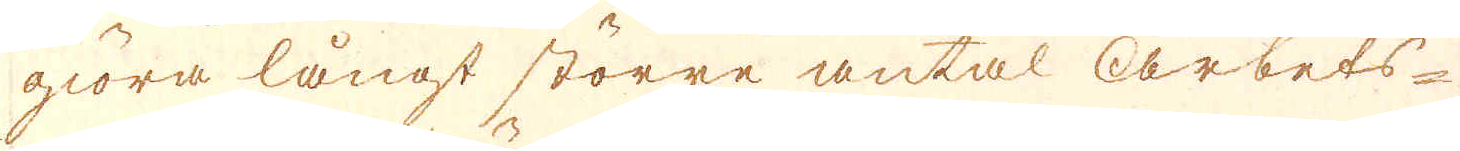giöra långt större antal arbets-
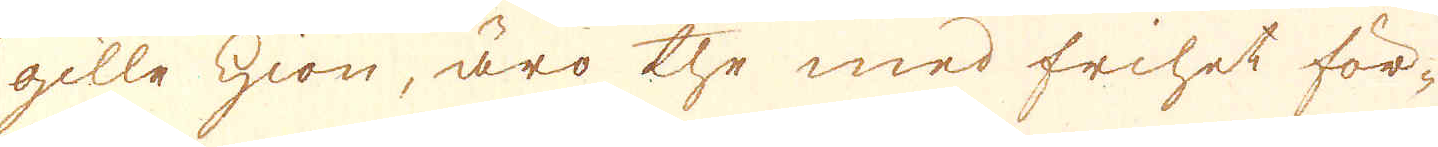gille hion, äro the med frihet för-
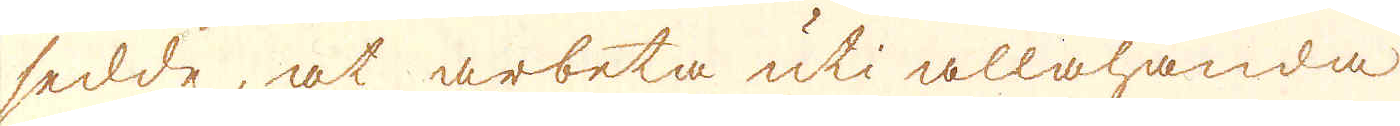sedde, at arbeta uti allahanda
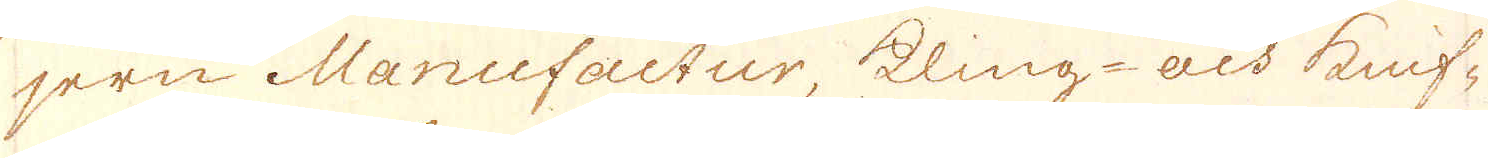jern Manufactur, kling- och knif-
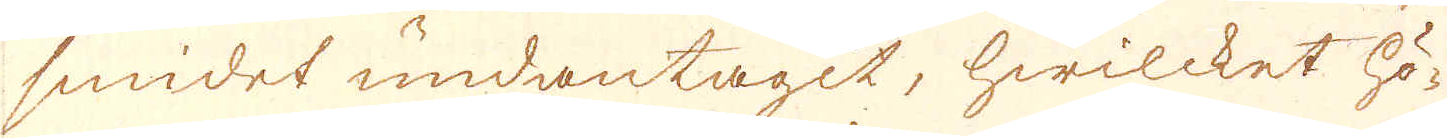smidet undantagit, hwilcket hö-
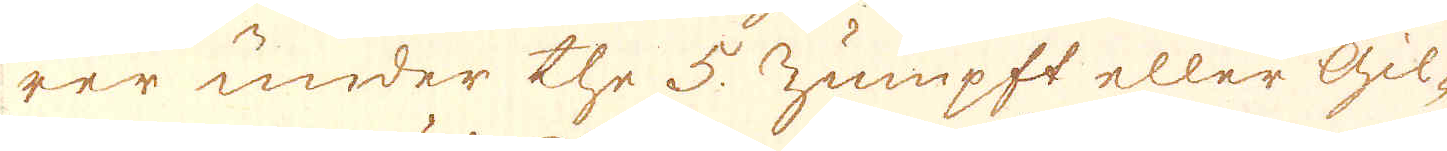rer under the 5. zumpft eller gil-
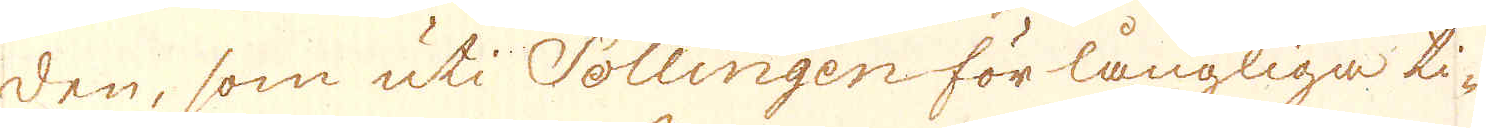den, som uti Sollingen för långliga ti-
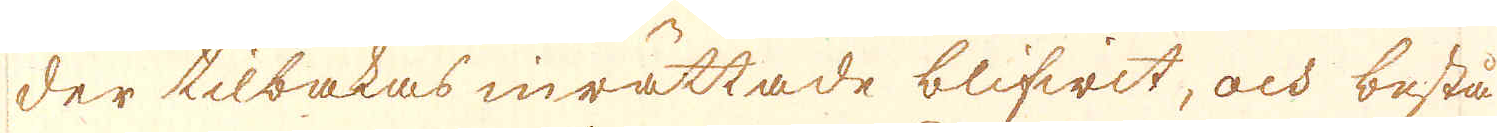der tilbakas inrättade blifwit, och bestå
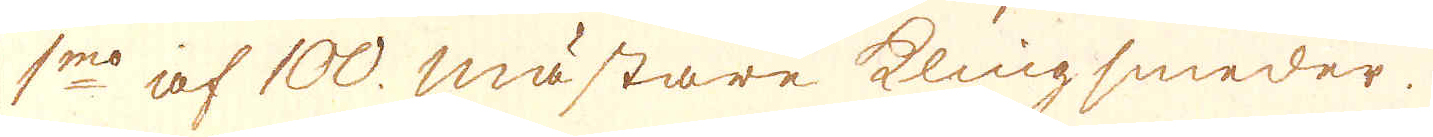1mo af 100. mästare klingsmeder.
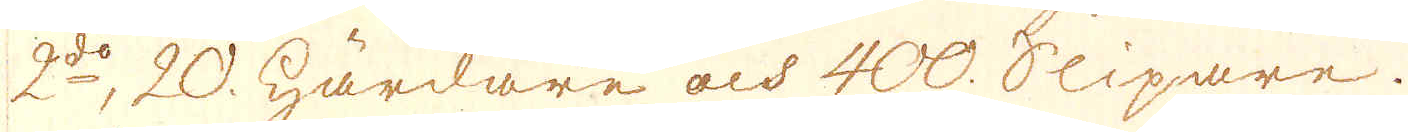2do, 20. härdare och 400. slipare.
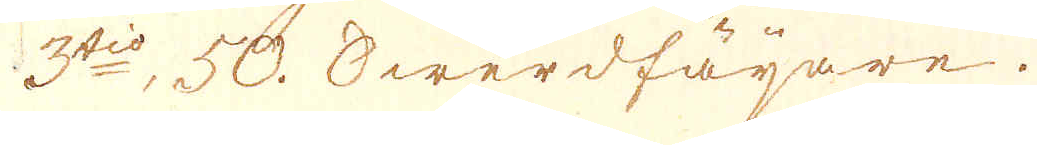3tio, 50. swerdfäijare.
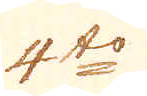4to
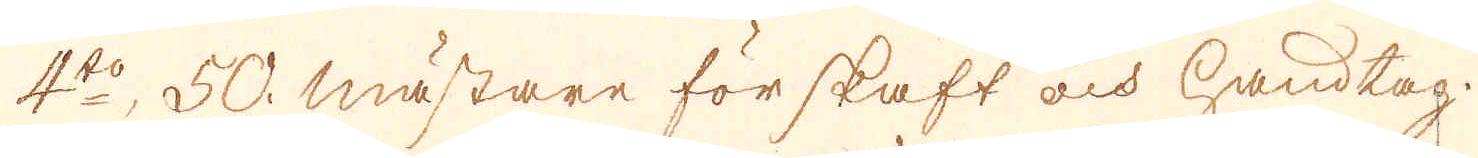4to, 50. mästare för skaft och handtag.
